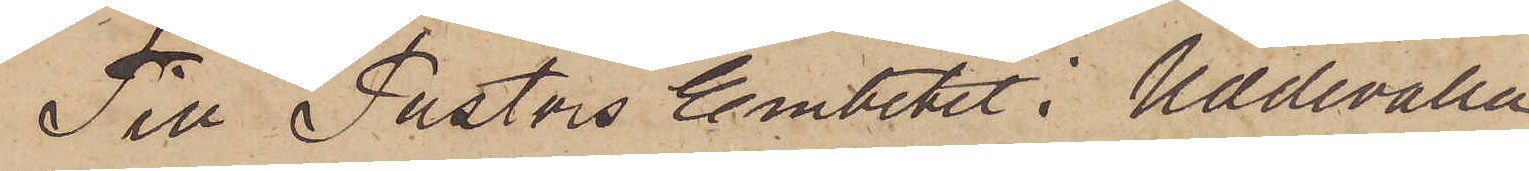Till Pastors Embetet i Uddevalla.
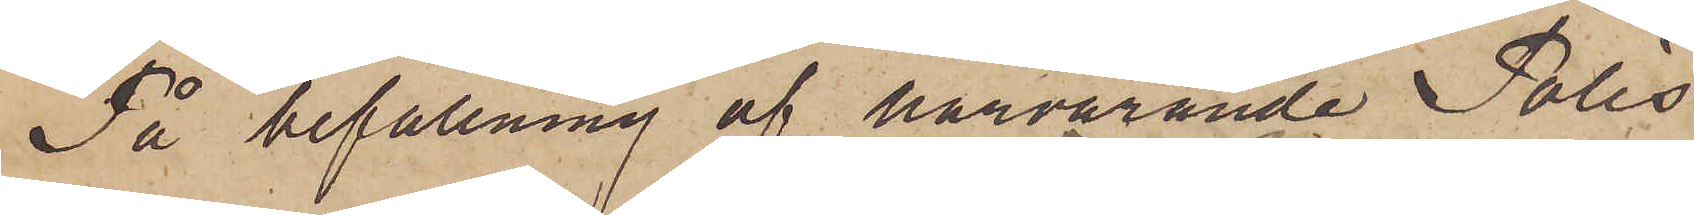På befallning af härvarande Polis¬
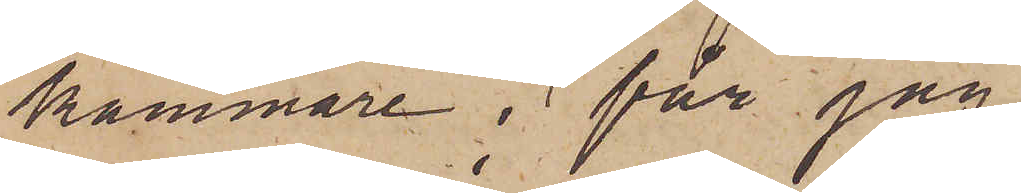kammare; får jag
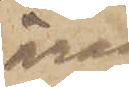äran
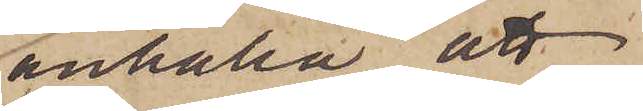anhålla att
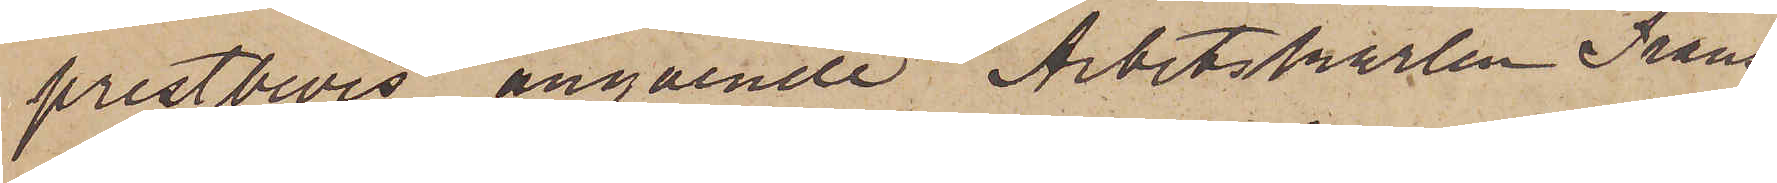prestbevis angående Arbetskarlen Frans
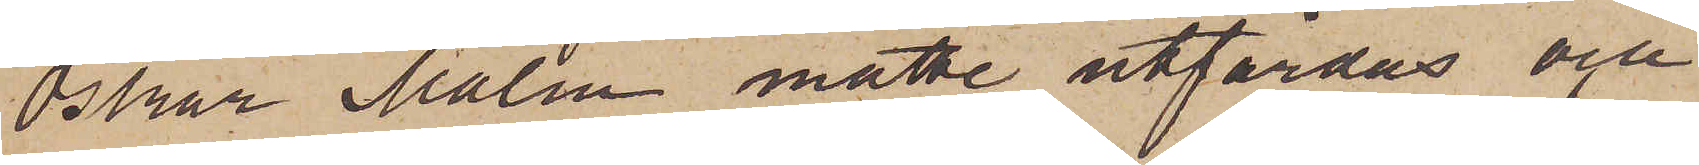Oskar Malm måtte utfärdas och
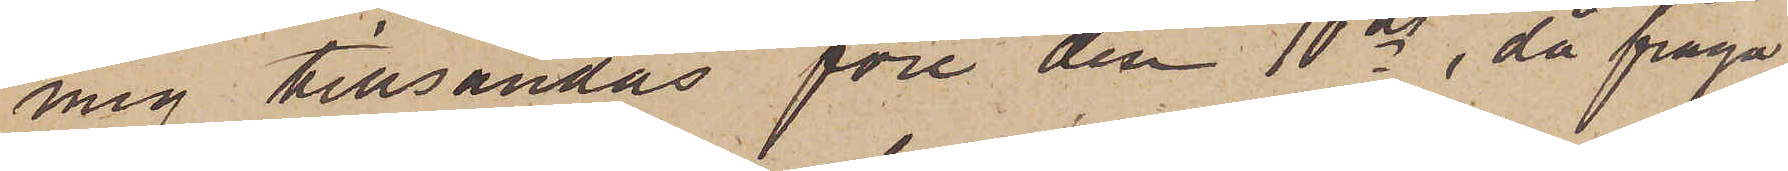mig tillsändas före den 10 ds, då fråga
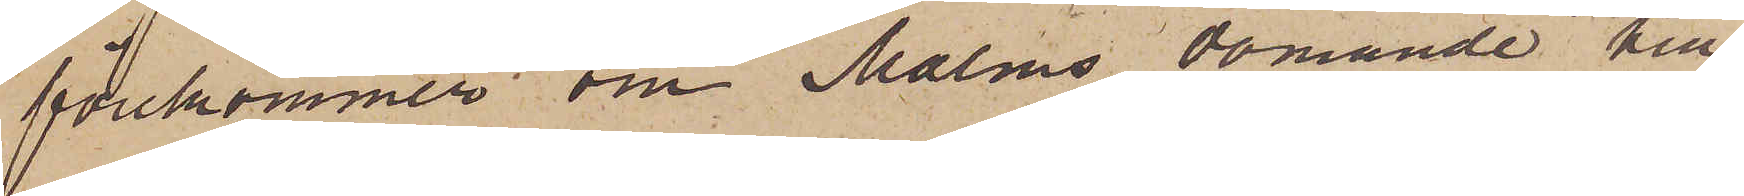förekommer om Malms dömande till
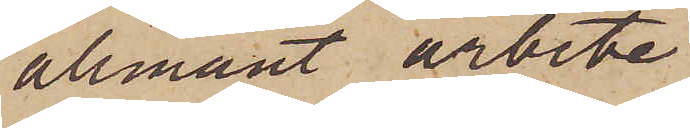allmänt arbete
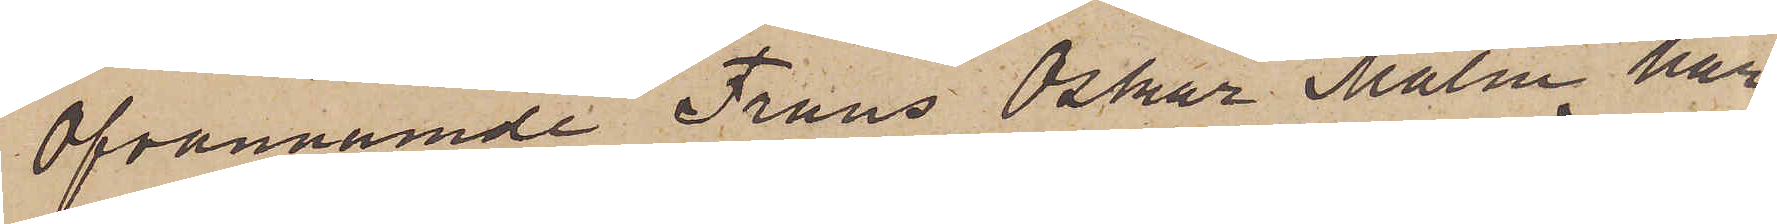Ofvannämnde Frans Oskar Malm har
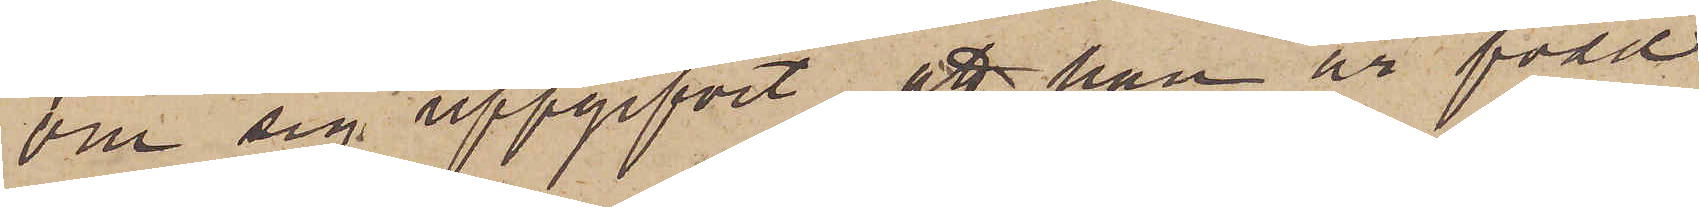om sig uppgifvit, att han är född
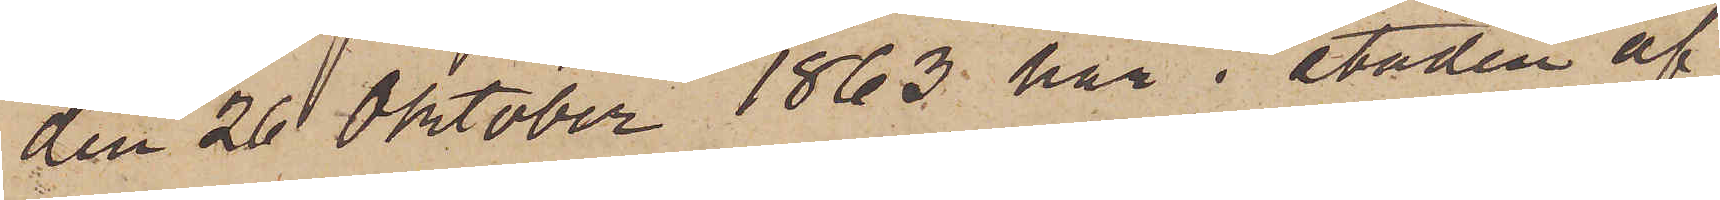den 20 Oktober 1863 här i staden af
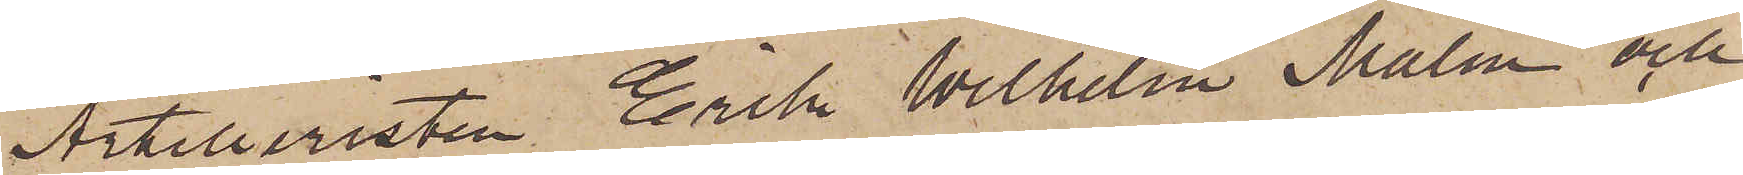Artilleristen Erik Wilhelm Malm och
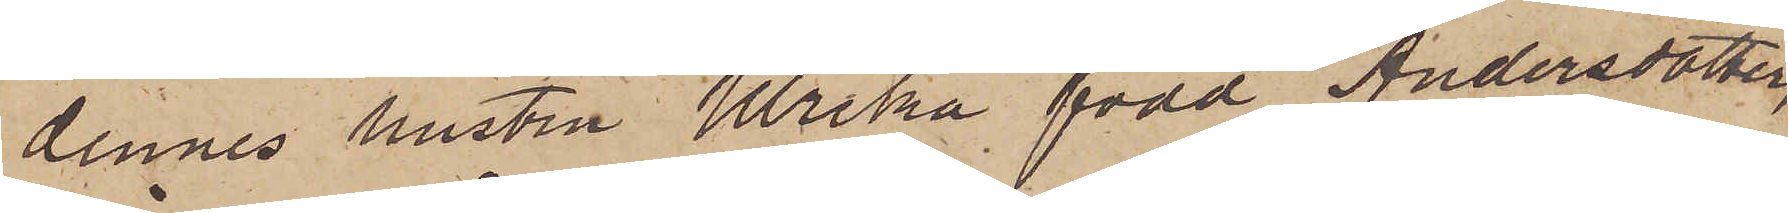dennes hustru Ulrika född Andersdotter,
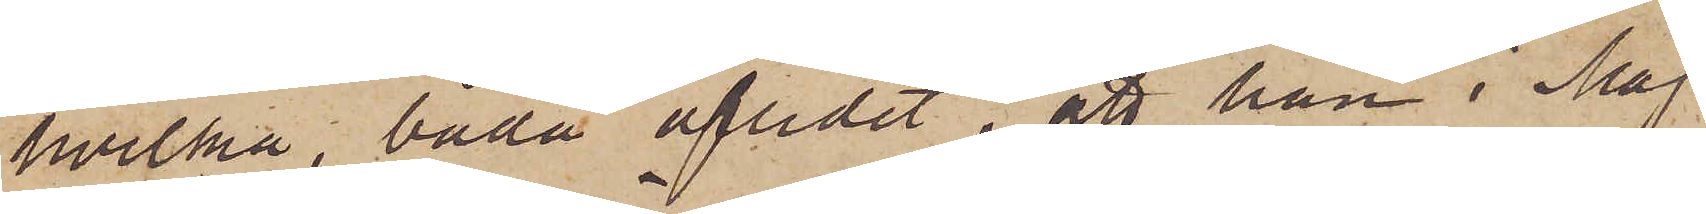hvilka, båda aflidit, att han i Maj
